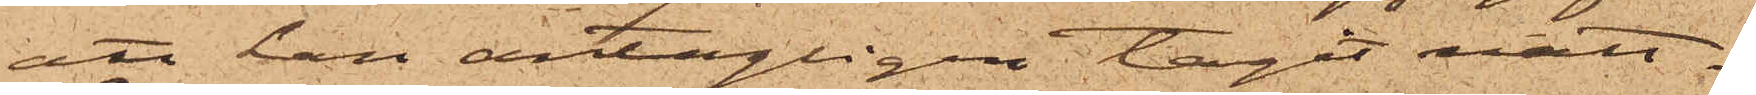att han antagligen tagit natt¬
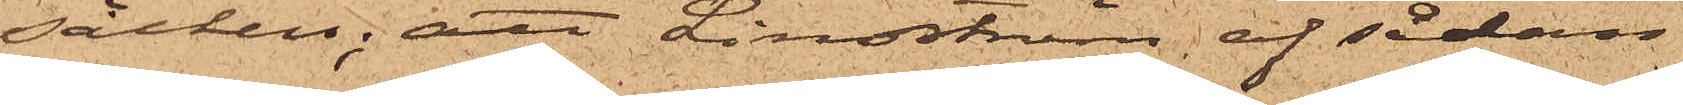säcken; att Lindström af sådan
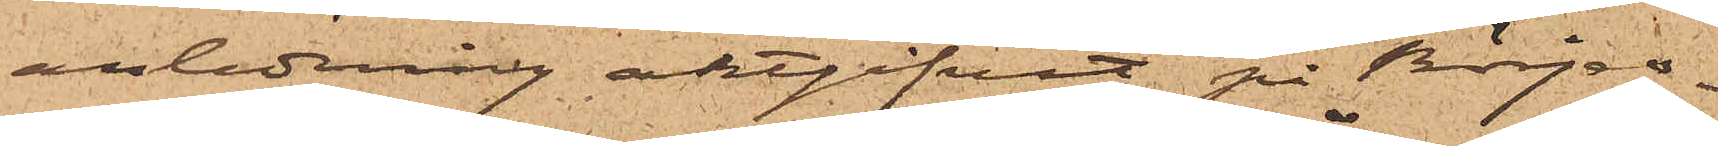anledning aktgifvit på Börjes¬
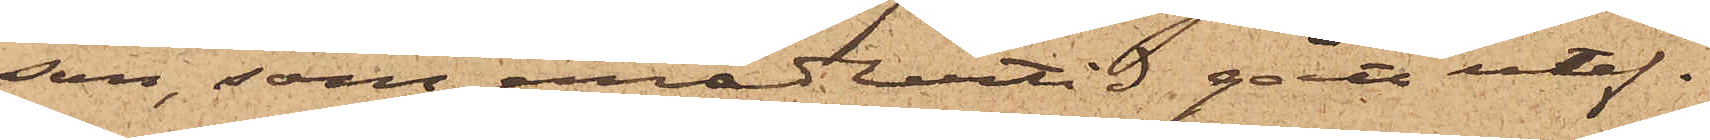son, som emedlertid gått utef¬
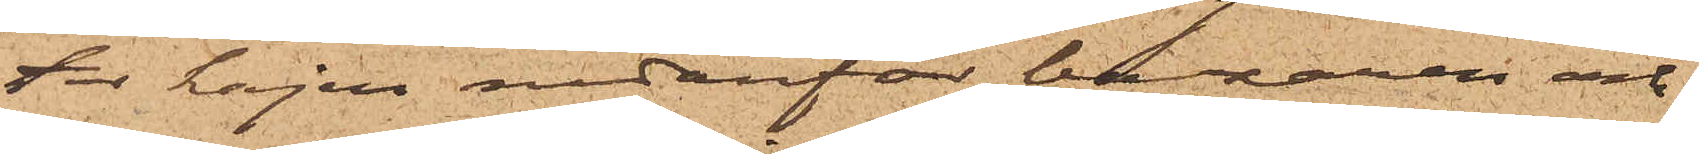ter kajen nedanför bazaren och
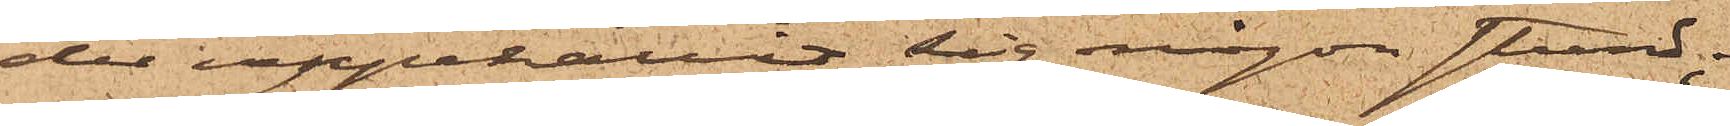der uppehållit sig någon stund;
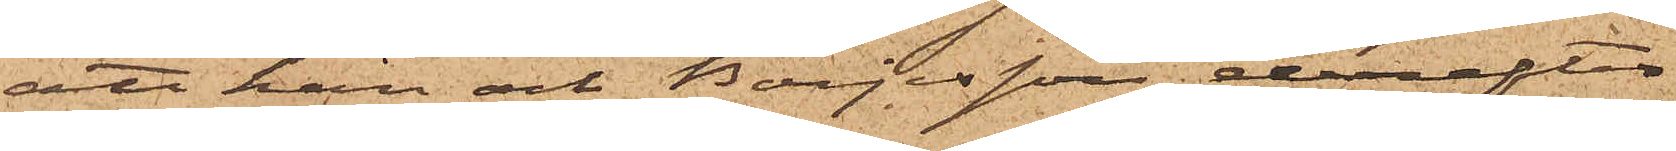att han och Börjesson derefter
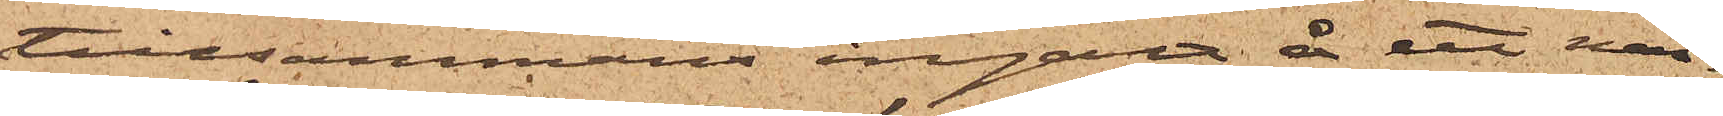tillsammans ingått å ett när¬
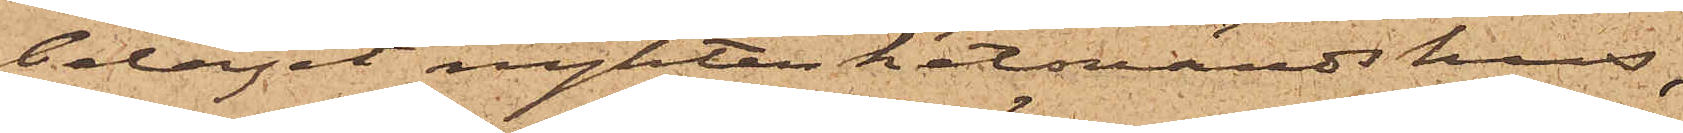beläget nykterhetvärdshus,
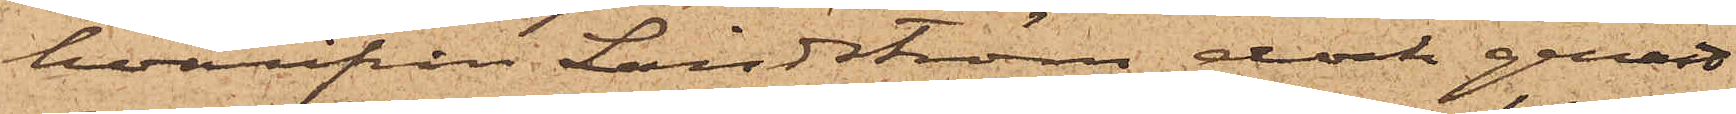hvarifrån Lindström dock genast
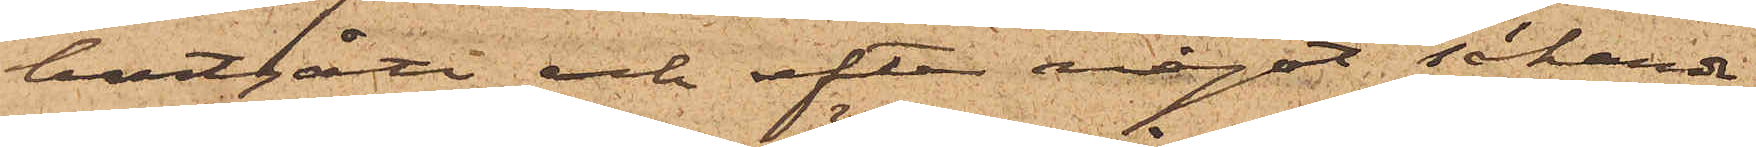bortgått och efter något sökanade
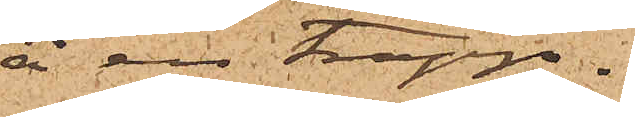å en trapp¬
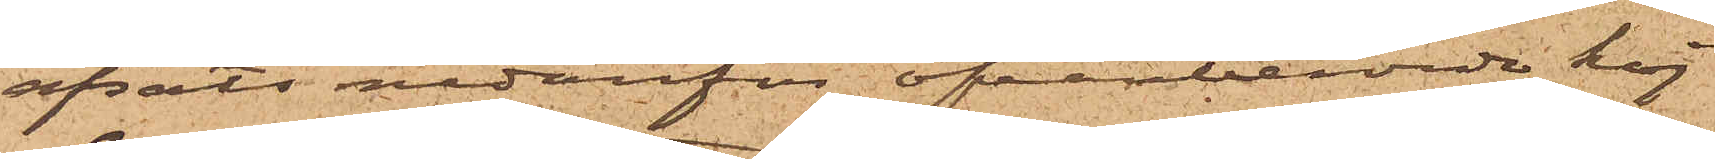afsats nedanför ofvanberörde kaj
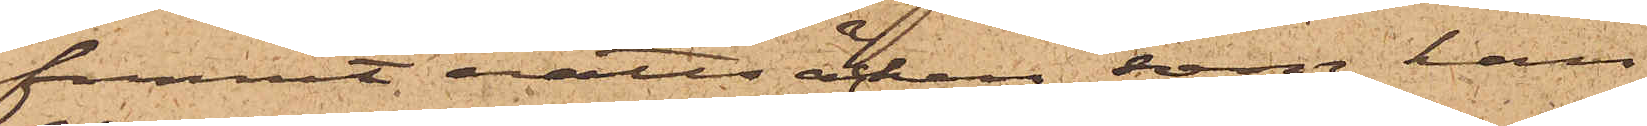funnit nattsäcken, som han
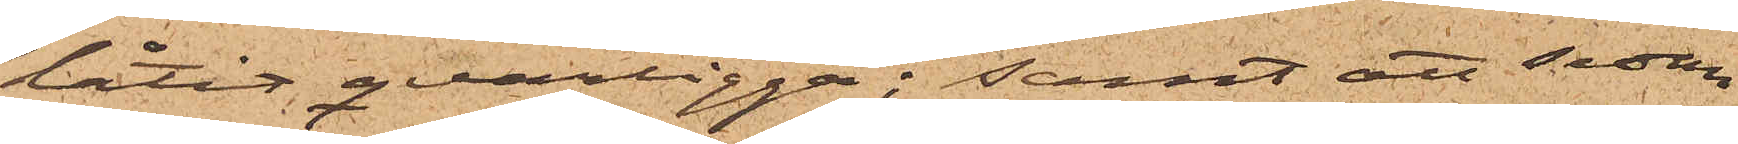låtit qvarligga; samt att sedan
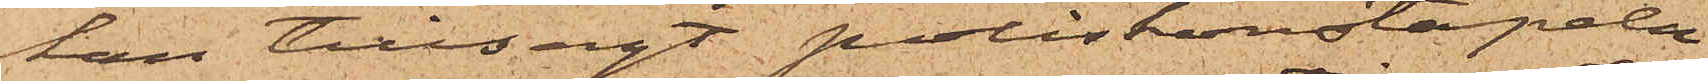han tillsagt poliskonstapeln
